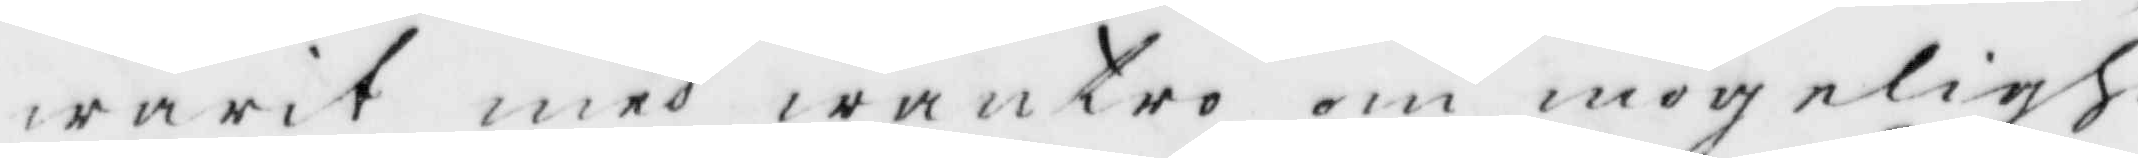warit med wantro om mögelighe¬
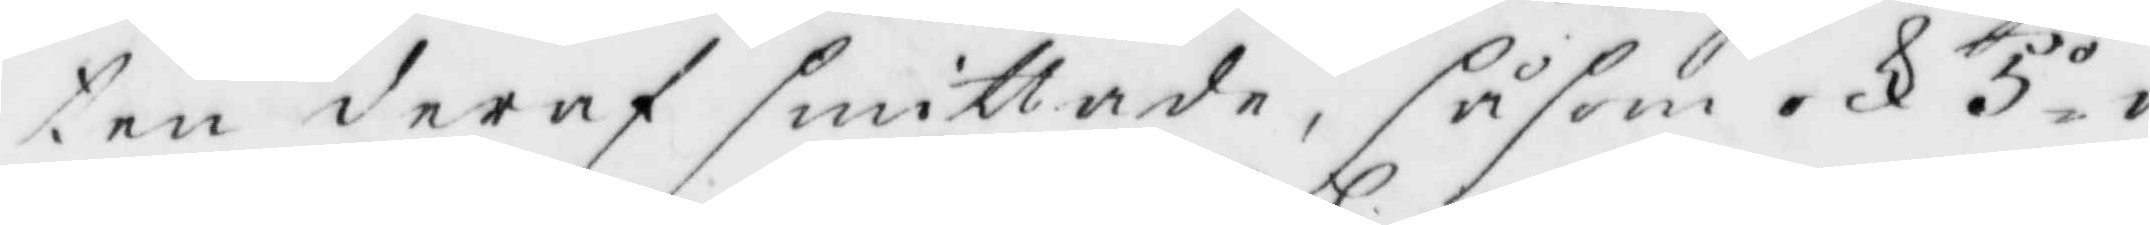ten deraf smittade, såsom och 5.o a
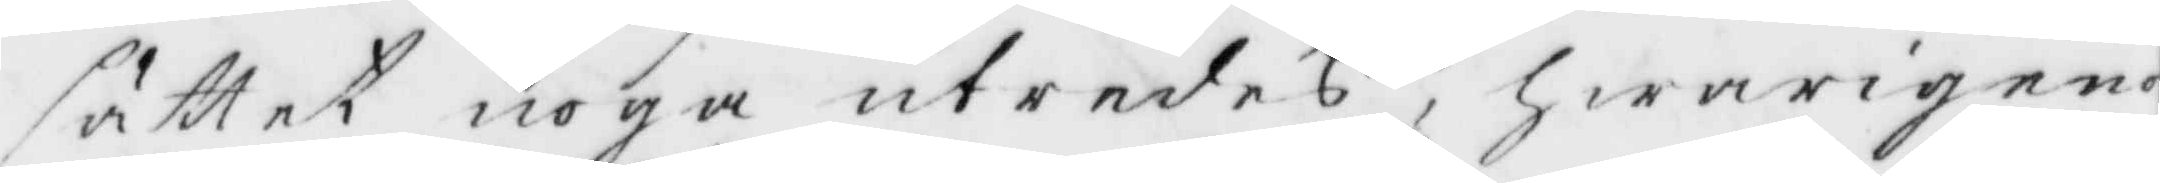sättet noga utredas, hwarigenom
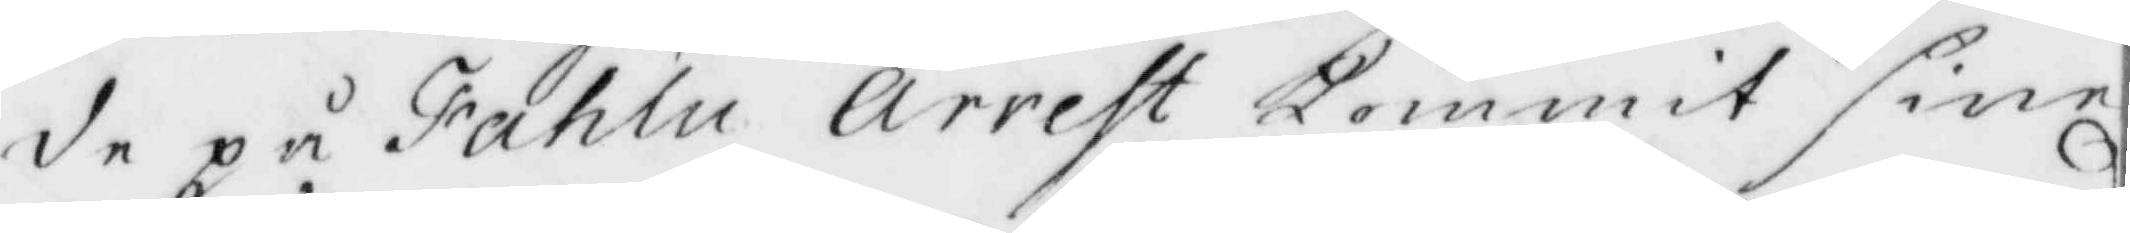de på Fahlu Arrets kommit sine
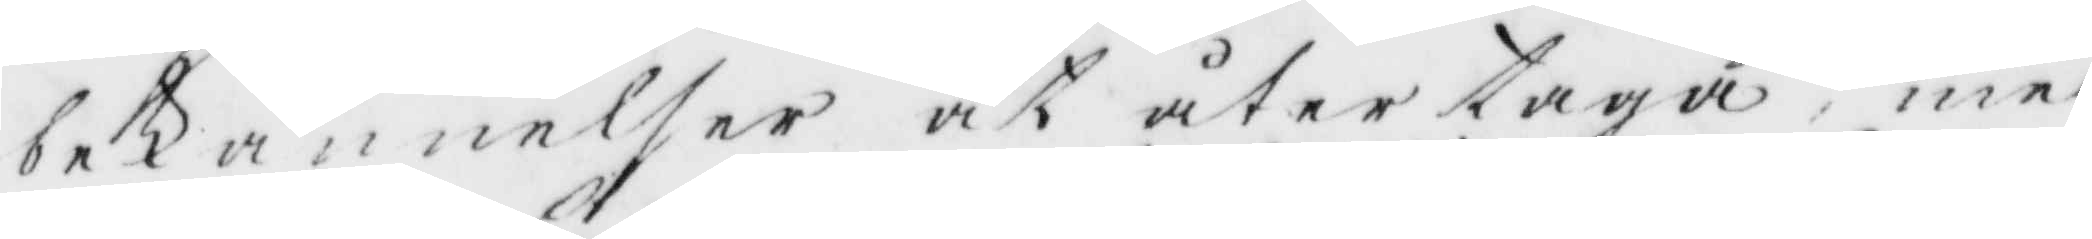bekännelser at återtaga, med
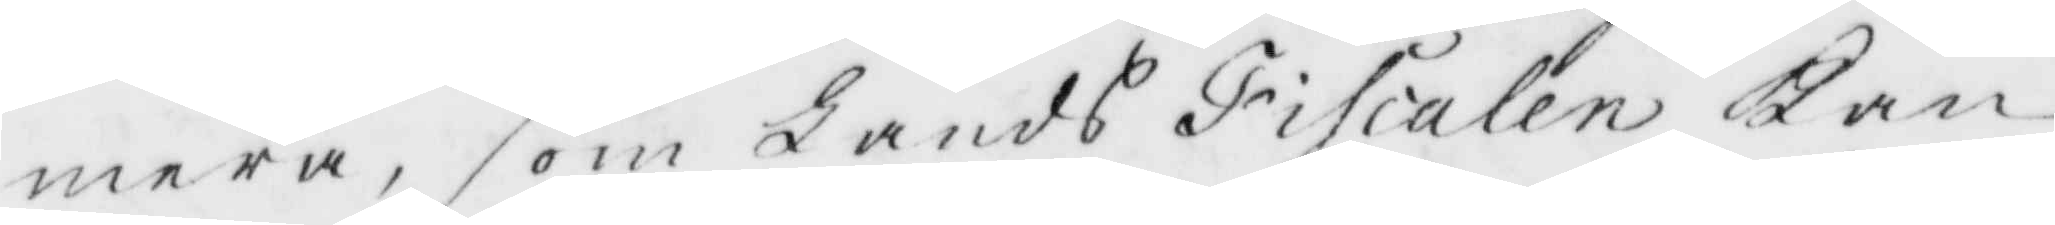mera, som Lands Fiscalen Kan
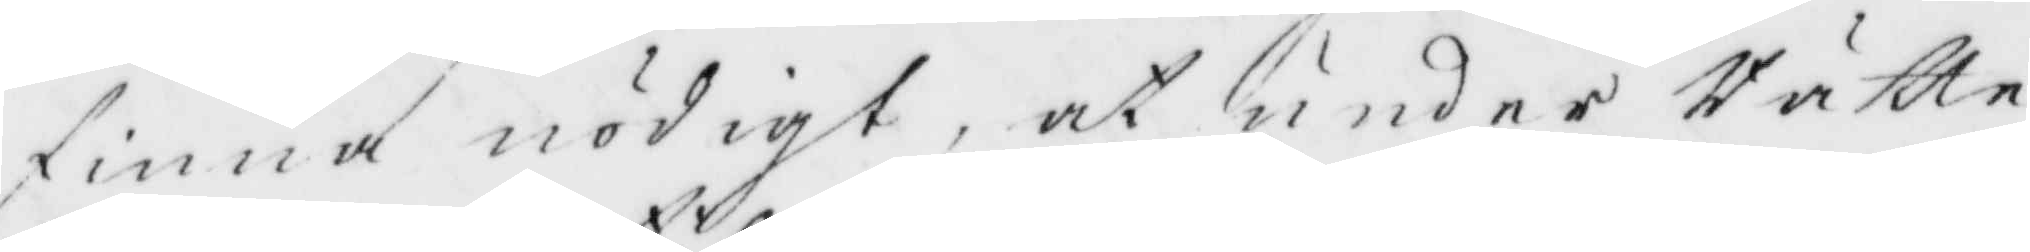finna nödigt, at under Rätte¬
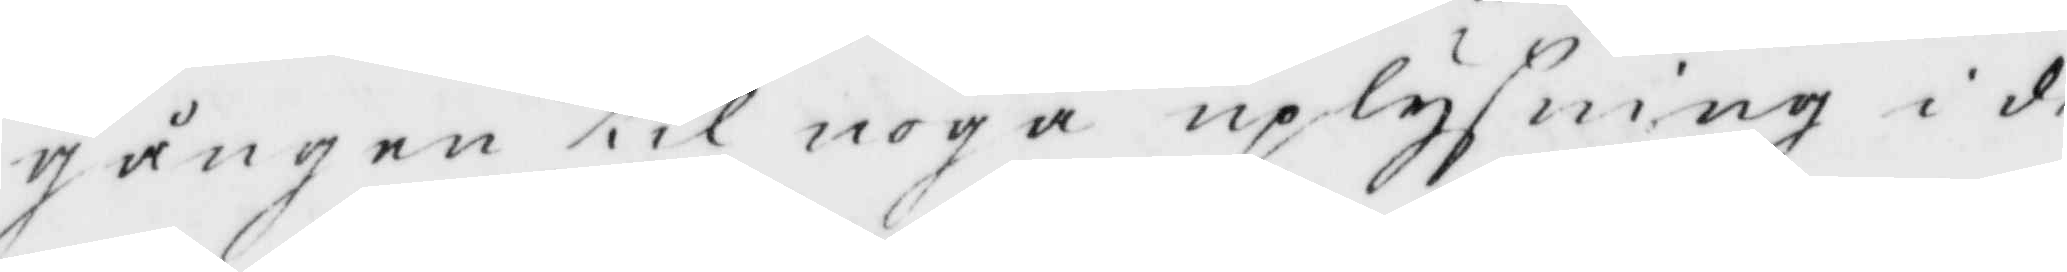gången till noga uplysning i de
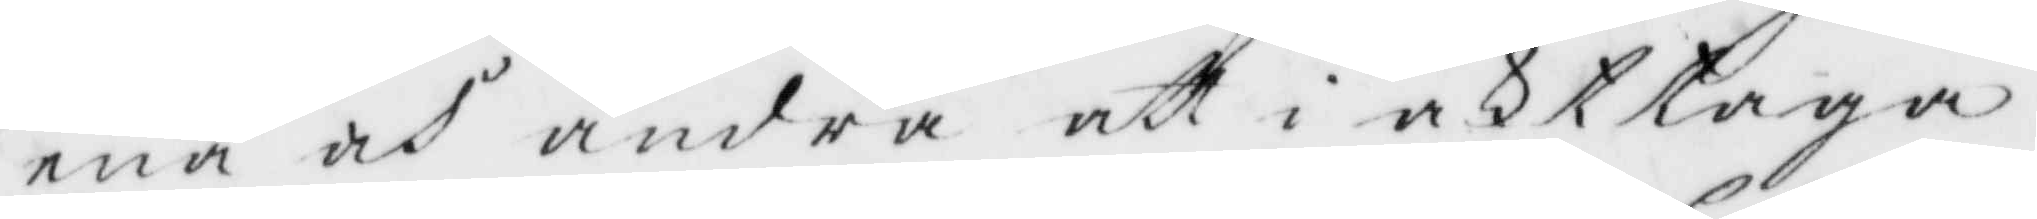ena och andra att i akttaga;
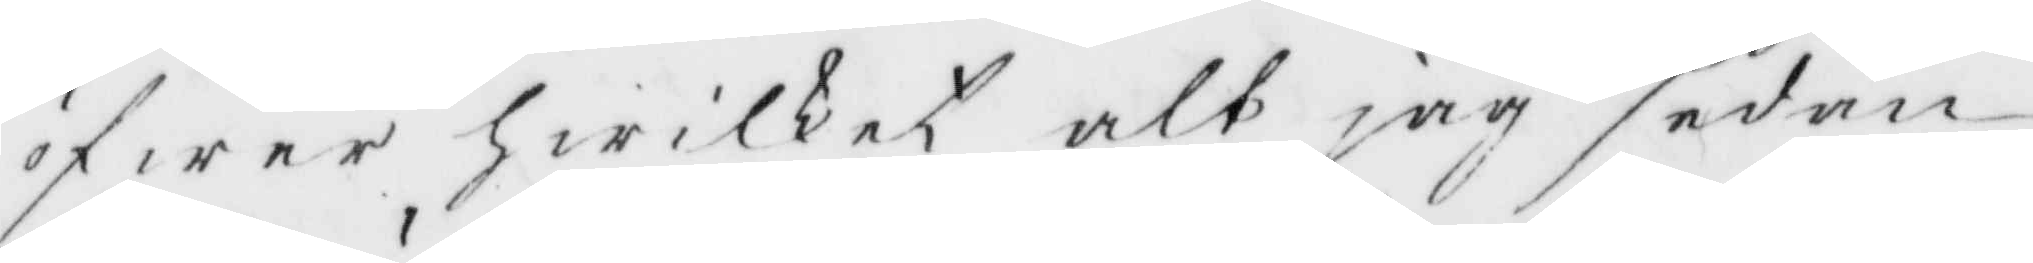öfwer Hwilket alt jag sedan
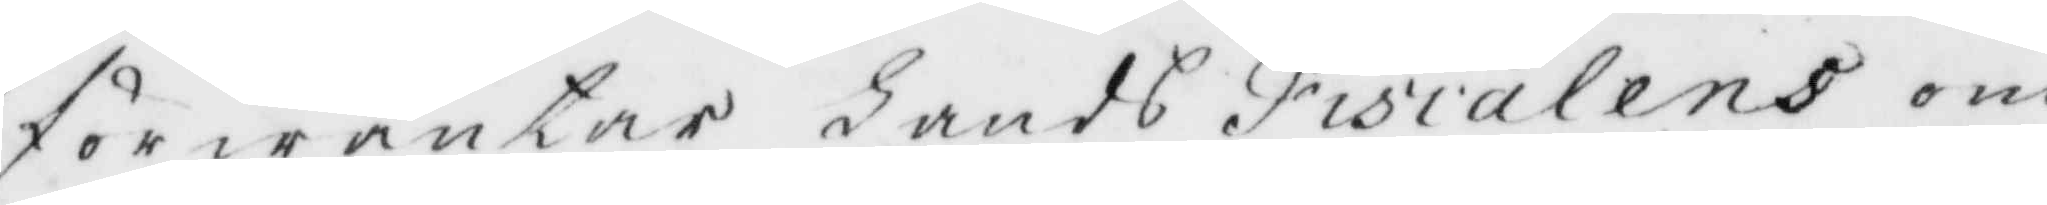förwäntar Lands Fiscalens om¬
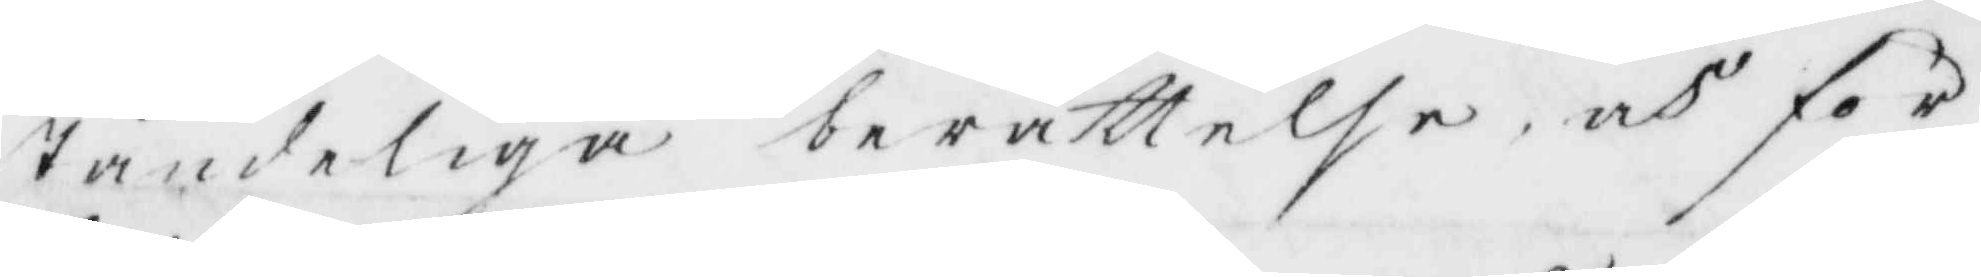ständeliga berättelse, och för¬
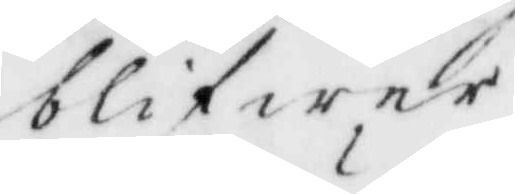blifwer
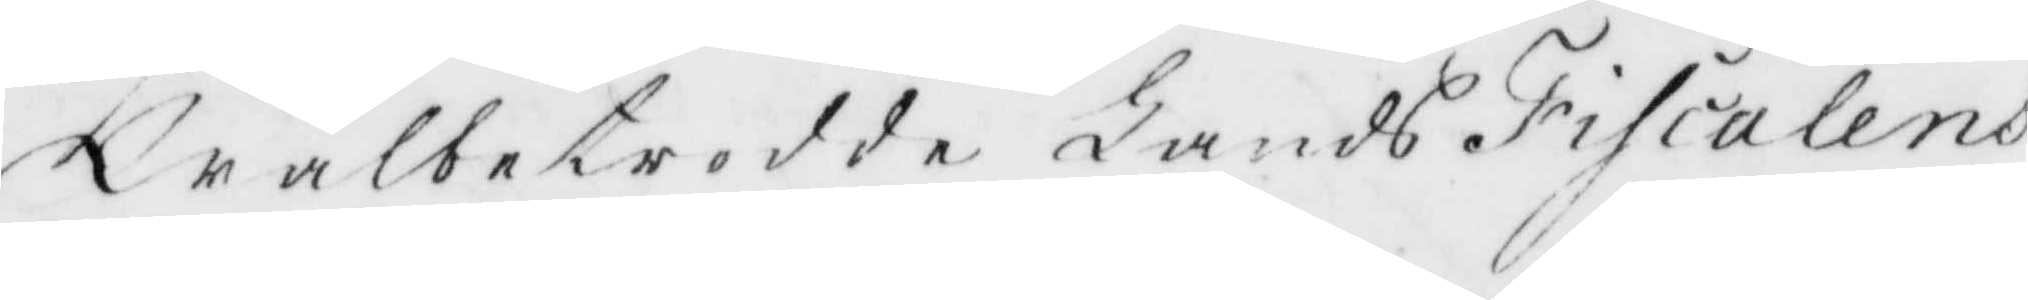Wälbetrodde Lands Fiscalens
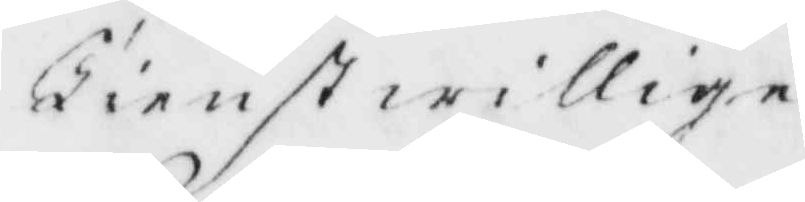Tienstwillige
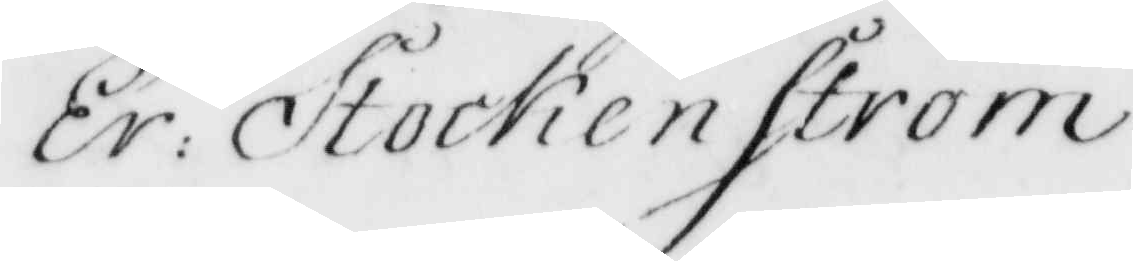Er: Stockenström
